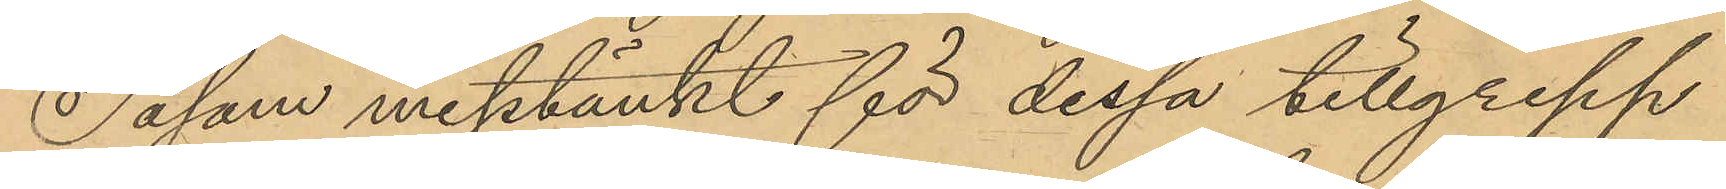Såsom misstänkt för dessa tillgrepp
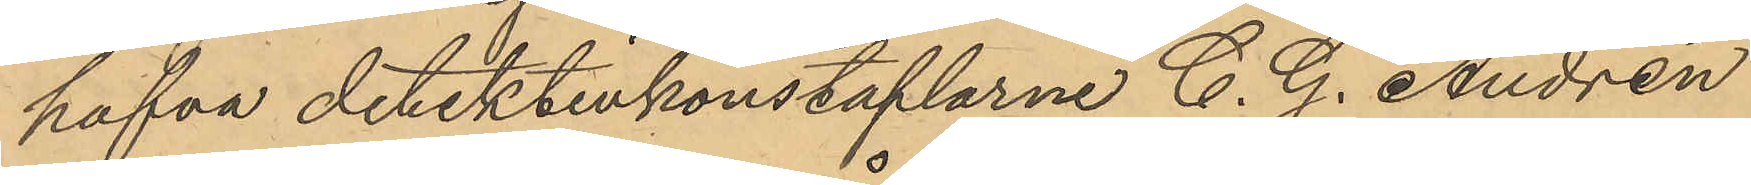hafva detektivkonstaplarne C. G. Andrén
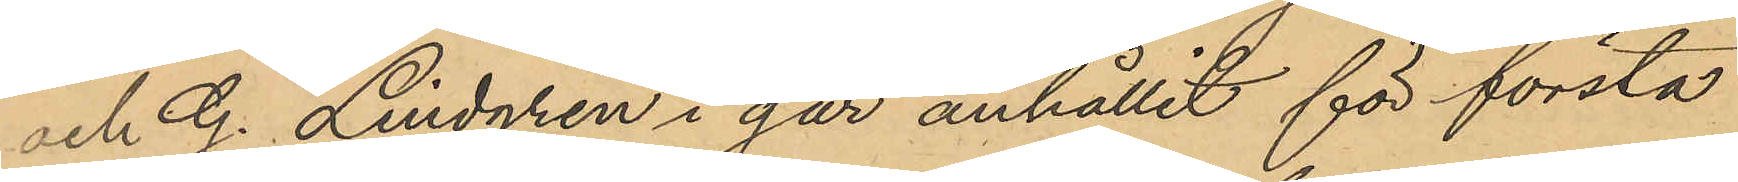och G. Lindgren i går anhållit för första
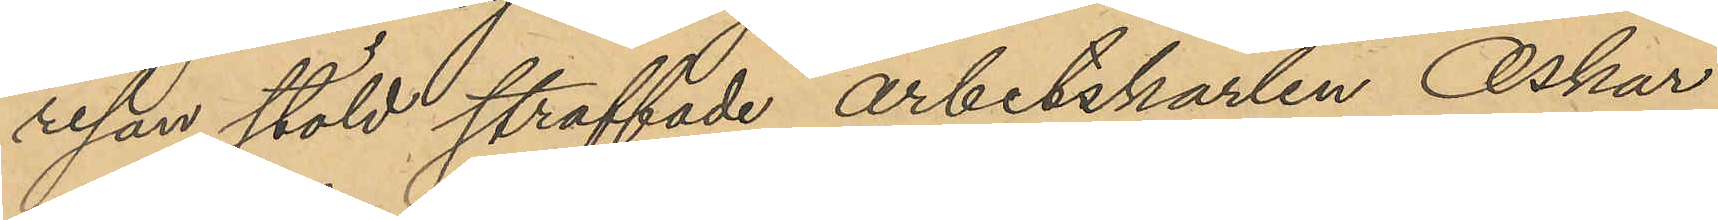resan stöld straffade arbetskarlen Oskar
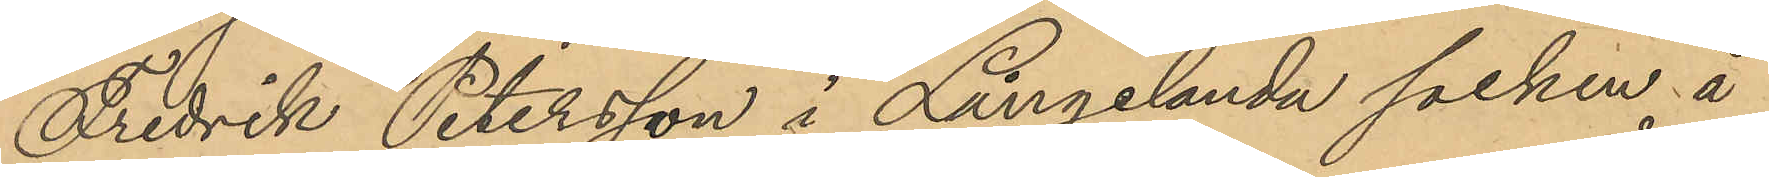Fredrik Petersson i Långelanda socken å
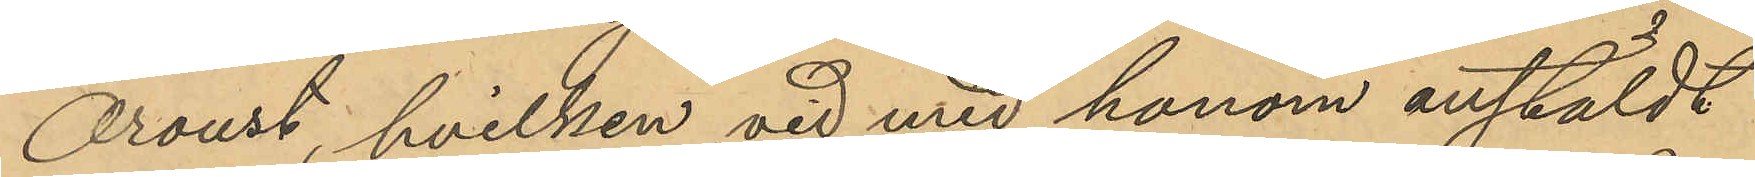Oroust, hvilken vid med honom anstäldt
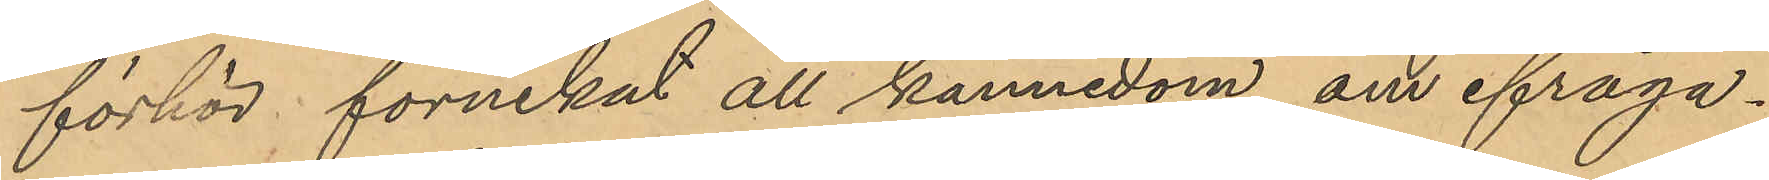förhör förnekat all kännedom om ifråga¬
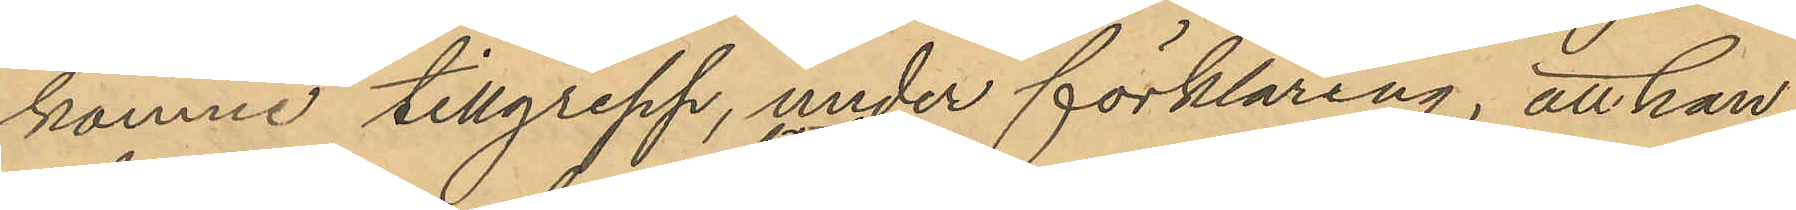komne tillgrepp, under förklaring, att han
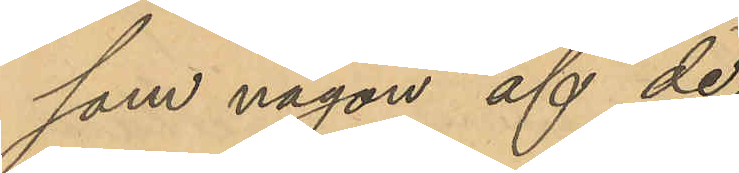som någon af de
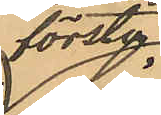första
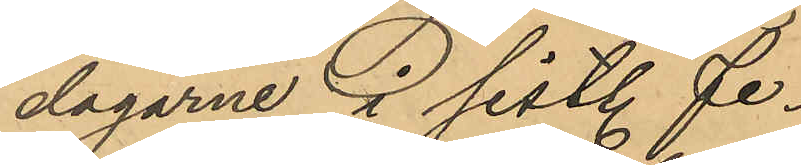dagarne i sistl. Fe¬
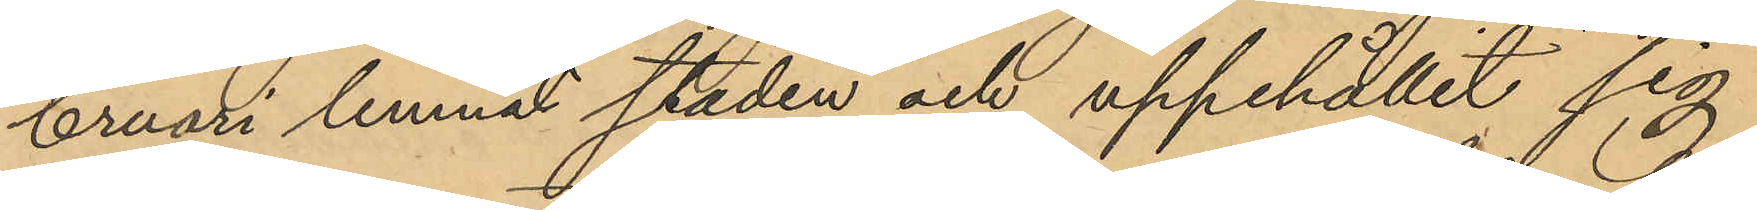bruari lemnat staden och uppehållit sig
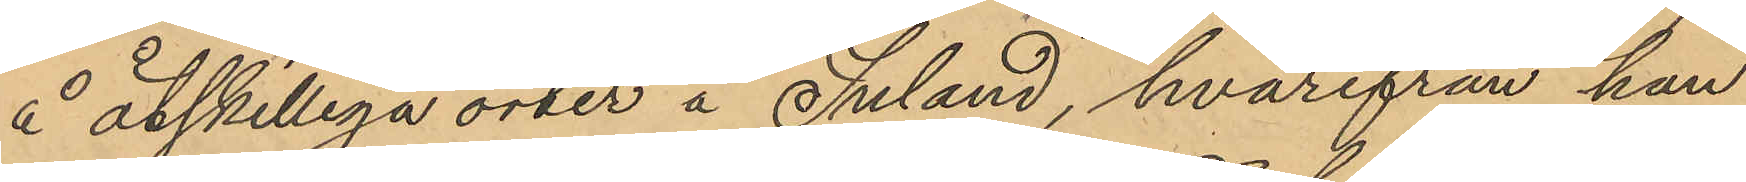å åtskilliga orter å Inland, hvarifrån han
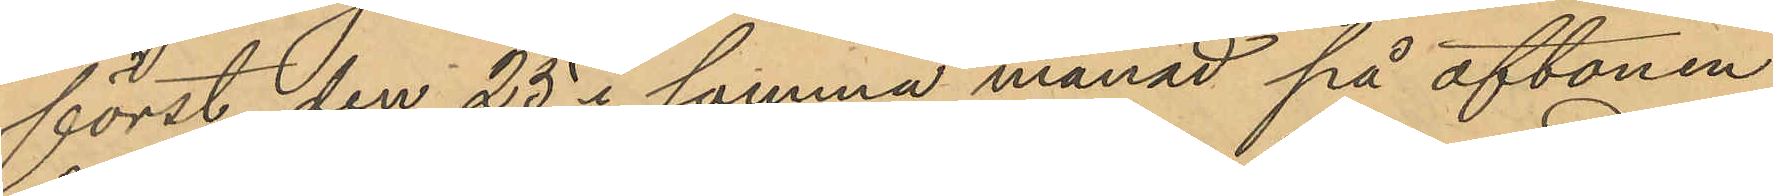först den 25 i samma månad på aftonen
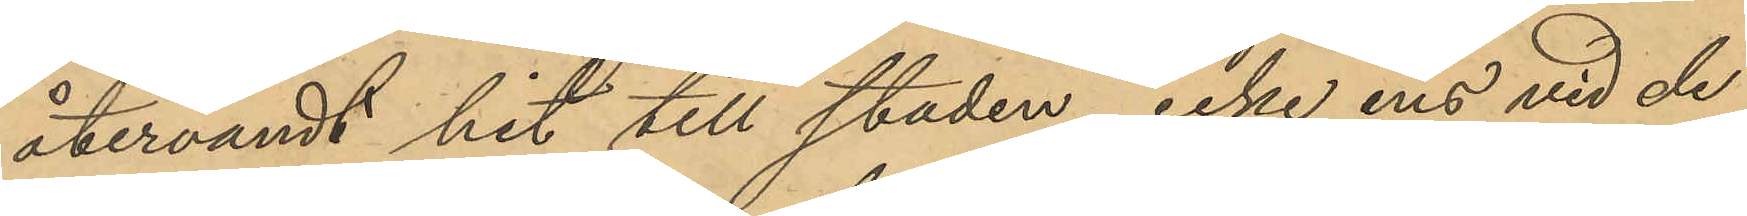återvändt hit till staden, icke ens vid de
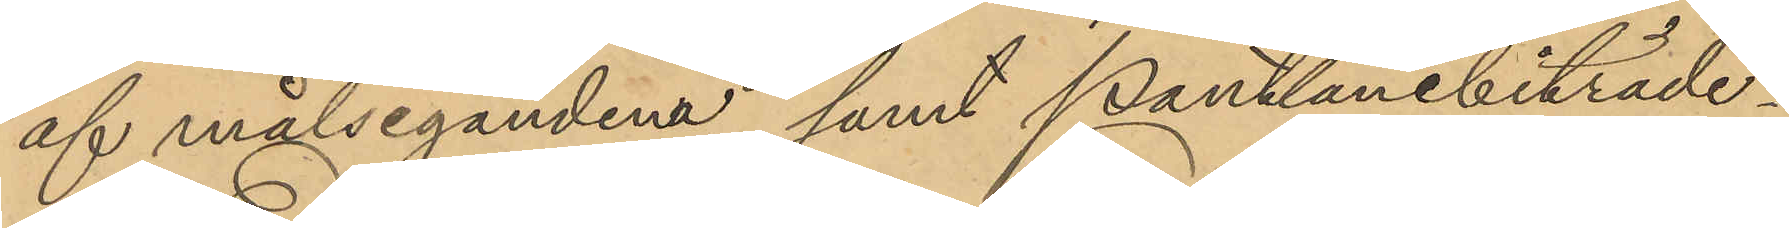af målsegandena samt Pantlånebiträde¬
